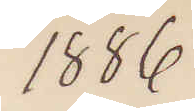1886
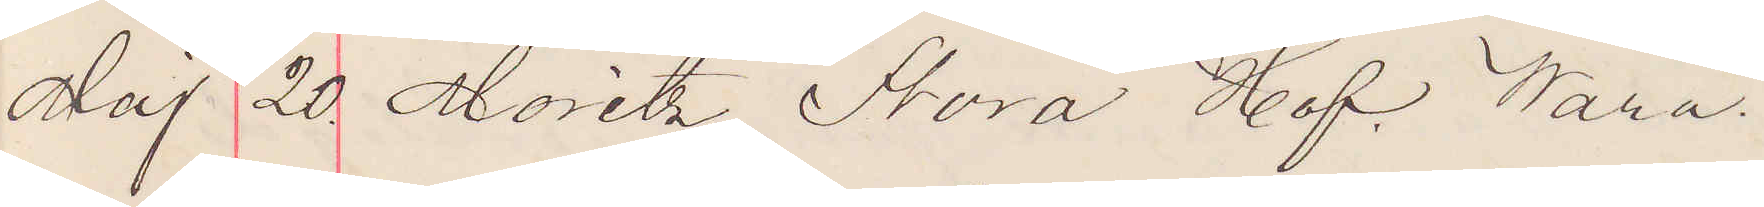Maj 20. Moritz Stora Hof. Wara.
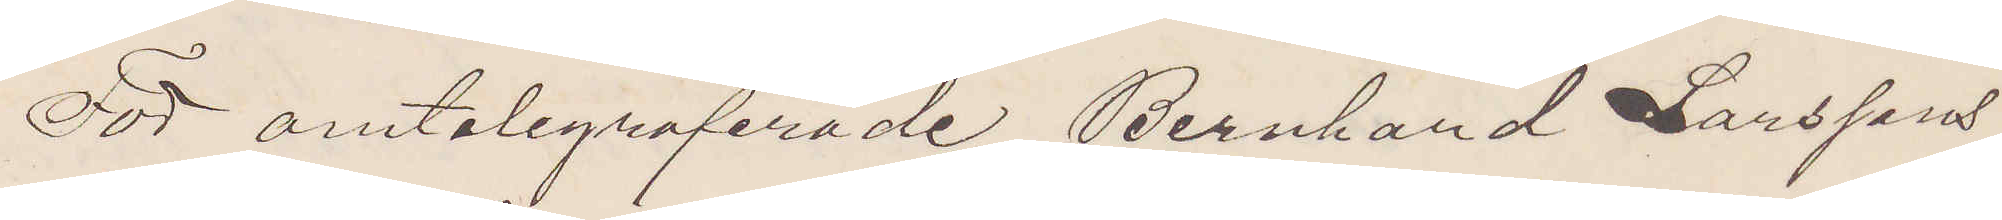För omtelegraferade Bernhard Larssons
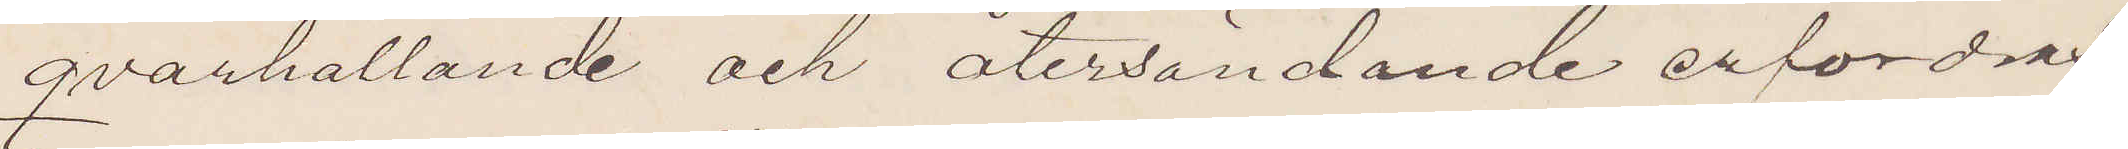qvarhållande och återsändande erfordras
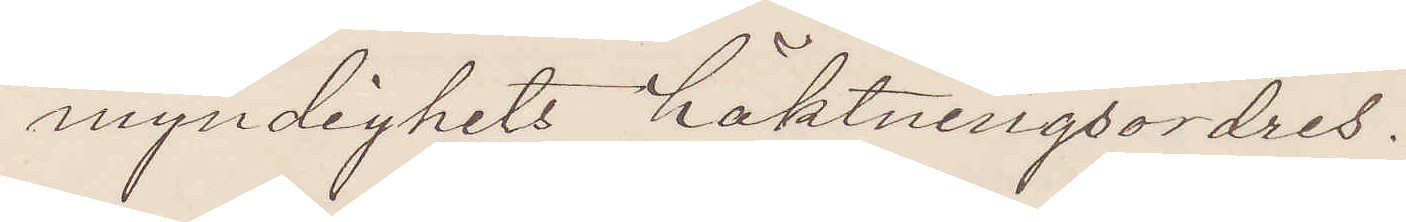myndighets häktningsordres.
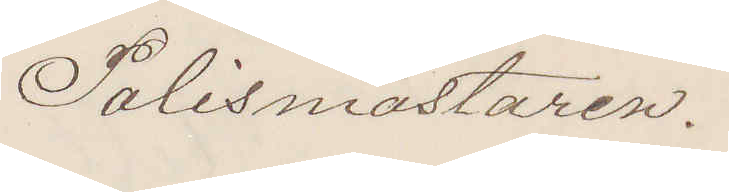Polismästaren.
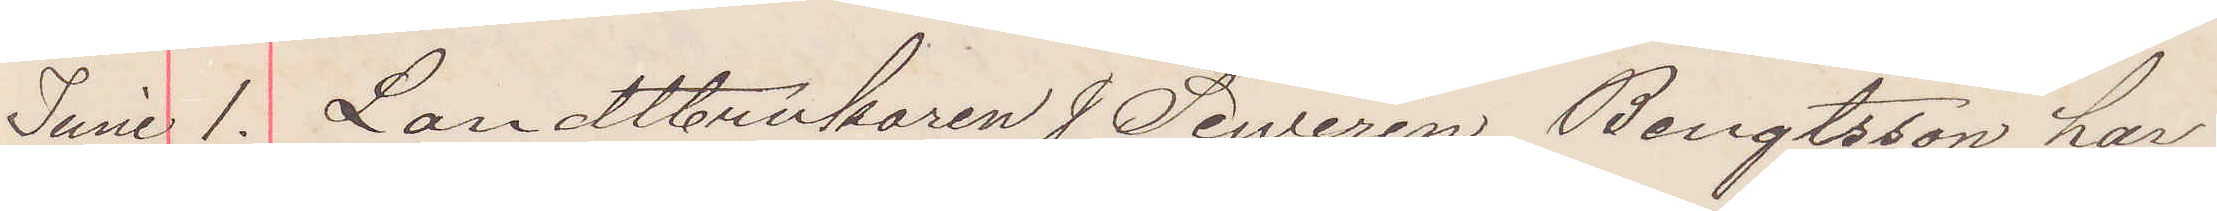Juni 1. Landtbrukaren J Sewerin Bengtsson har
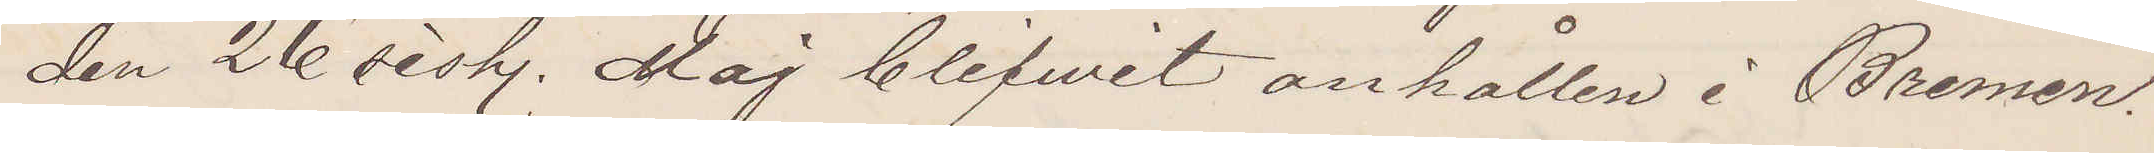den 26 sist. Maj blifwit anhållen i Bremen.
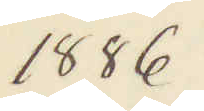1886
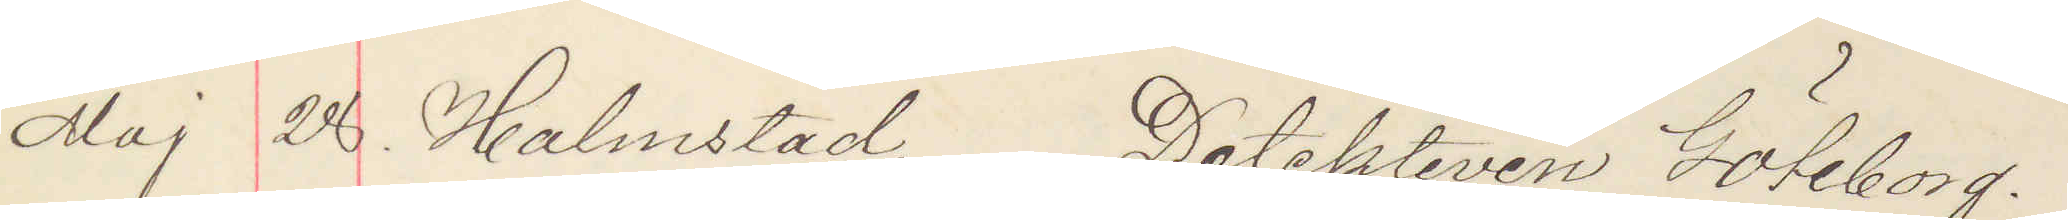Maj 28. Halmstad. Detektiven Göteborg.
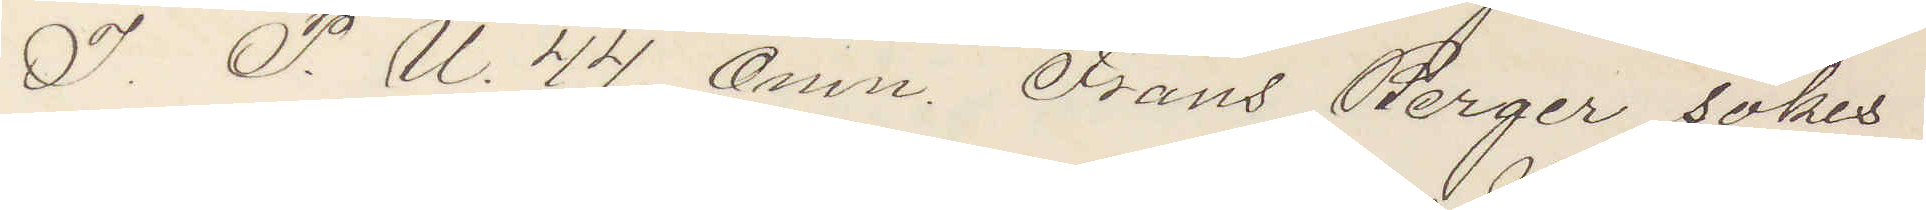I P. U. 44. Omn. Frans Berger sökes
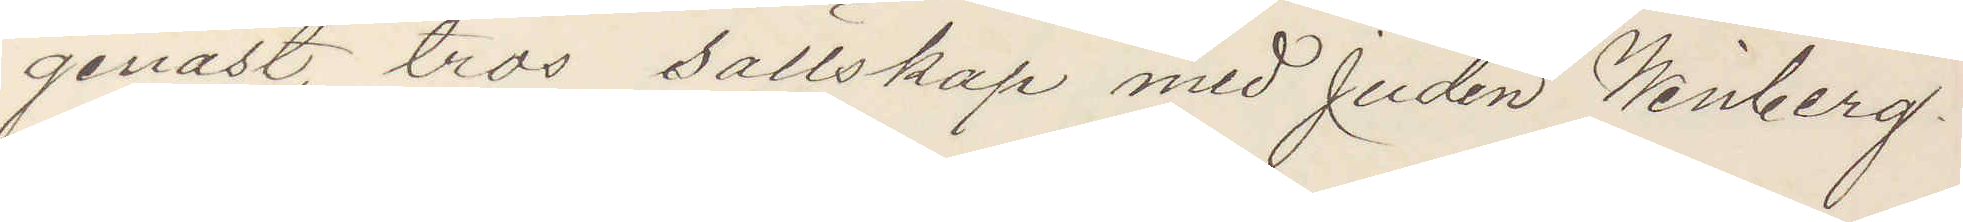genast, tros sällskap med Juden Winberg.
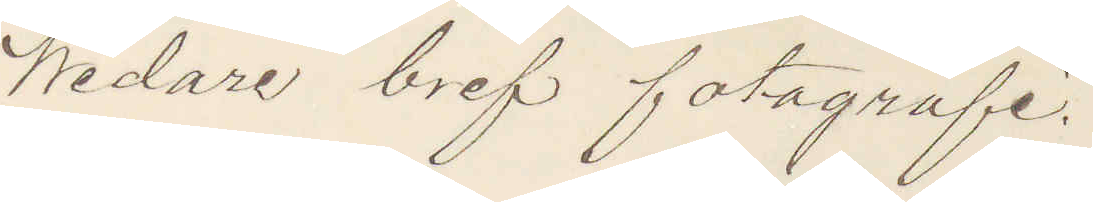Widare bref fotografi
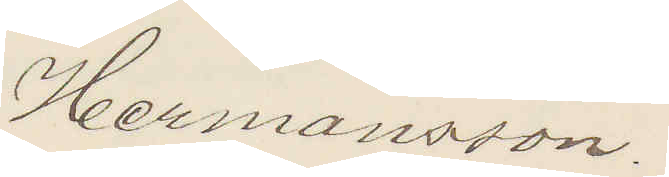Hermansson.
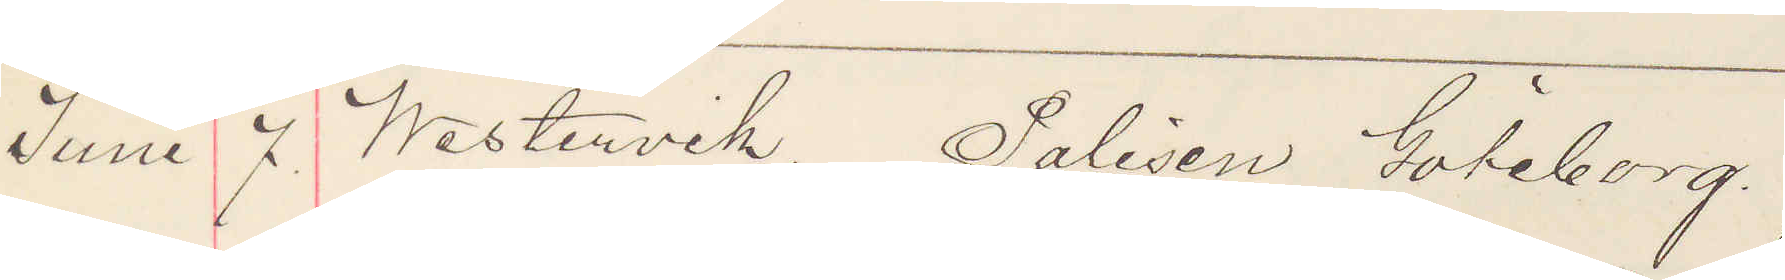Juni 7. Westervik. Polisen Göteborg.
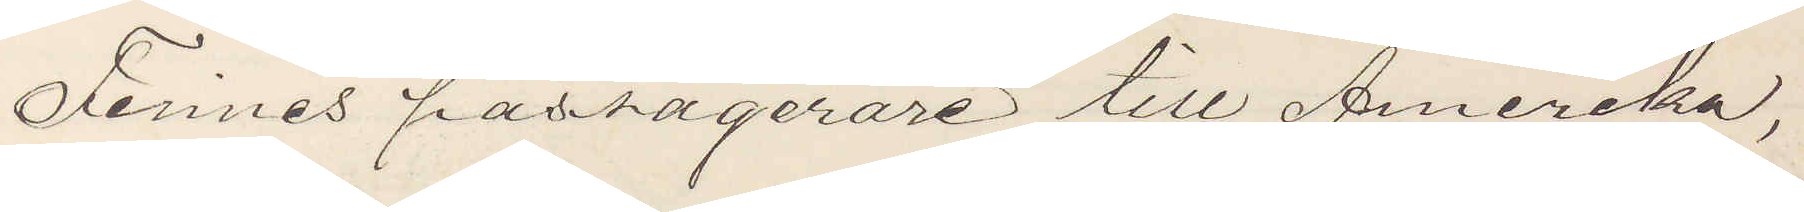Finnes passagerare till Amerika,
